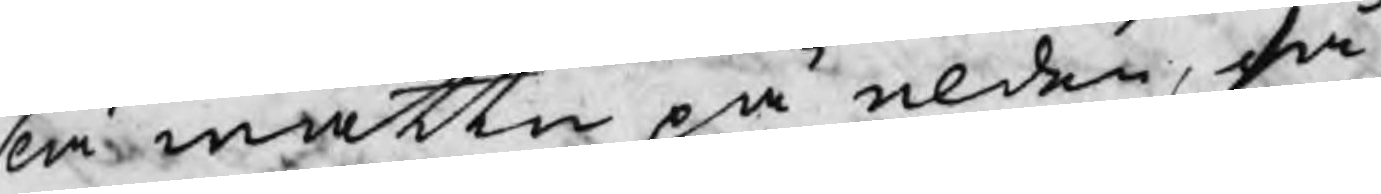slå wattn på elden, så
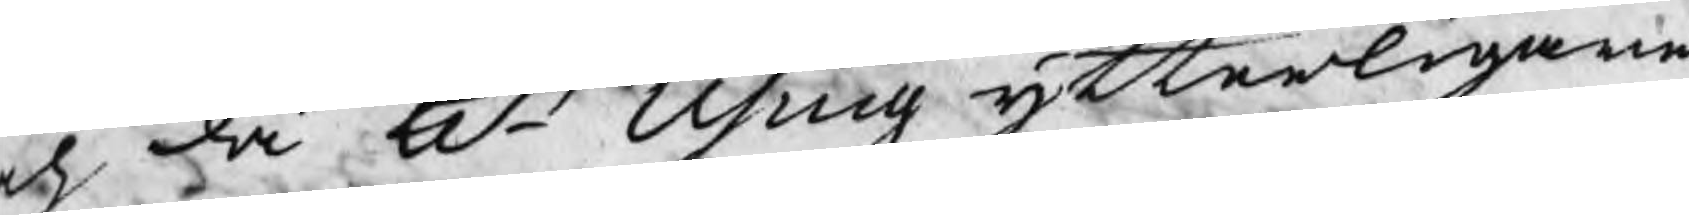h då Hr Using ytterligare
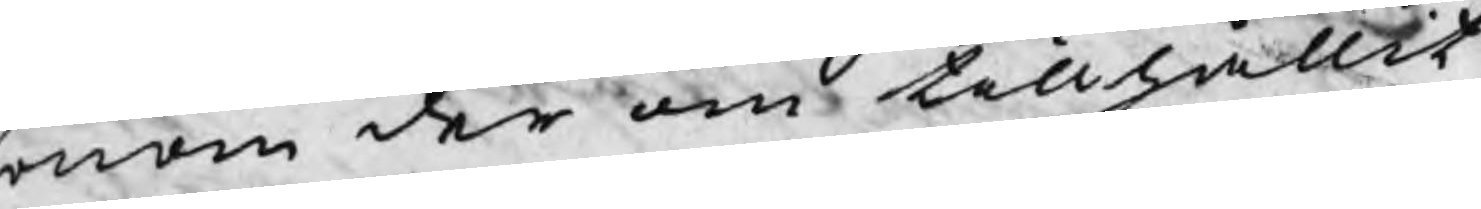onom der om tillhållit
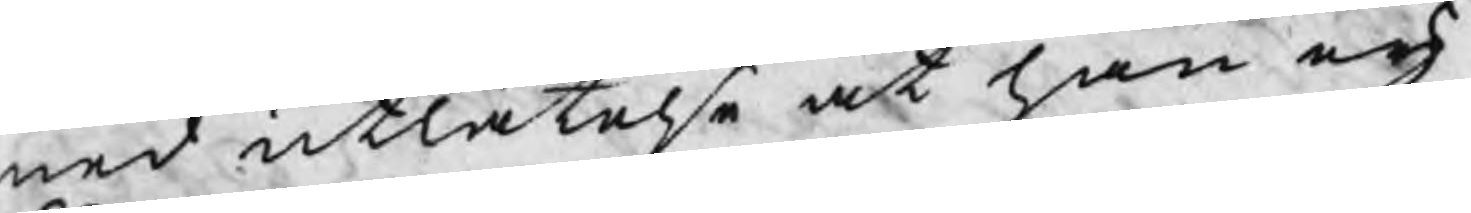med utlåtelse at han eij
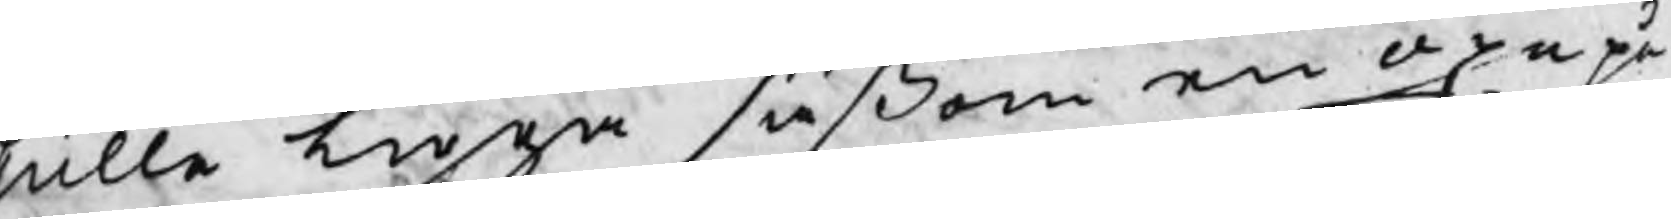skulle ligga såßom en oxe på
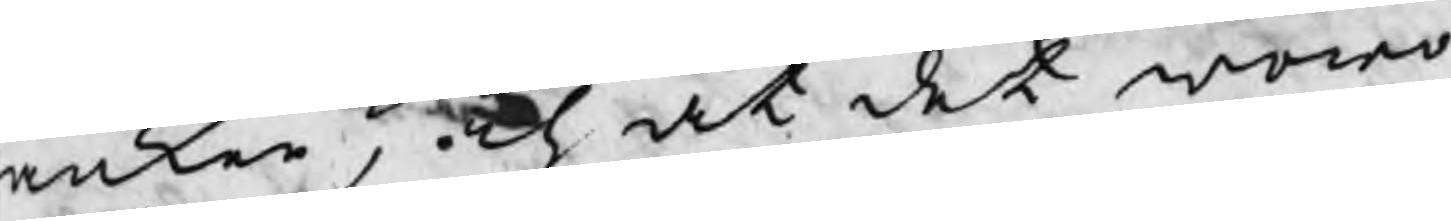änken, och at det woro
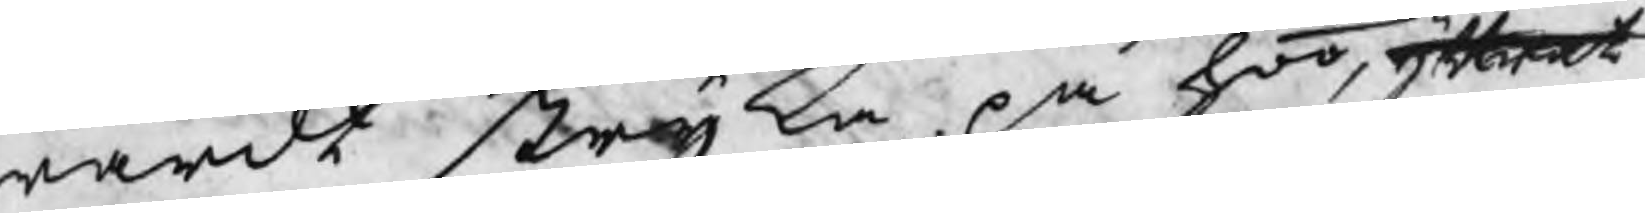wärdt stryka på hoo, yttrat
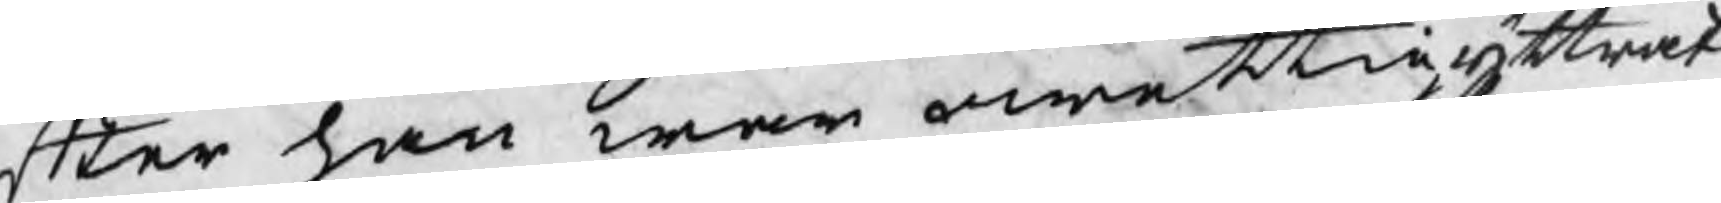fter han war owettig yttrat
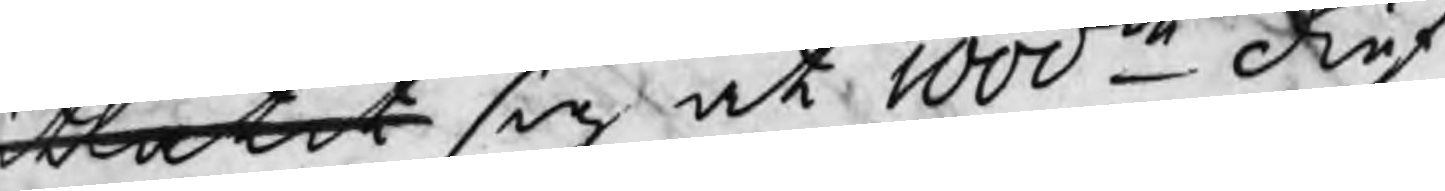utlåtit sig at 1000de dief¬
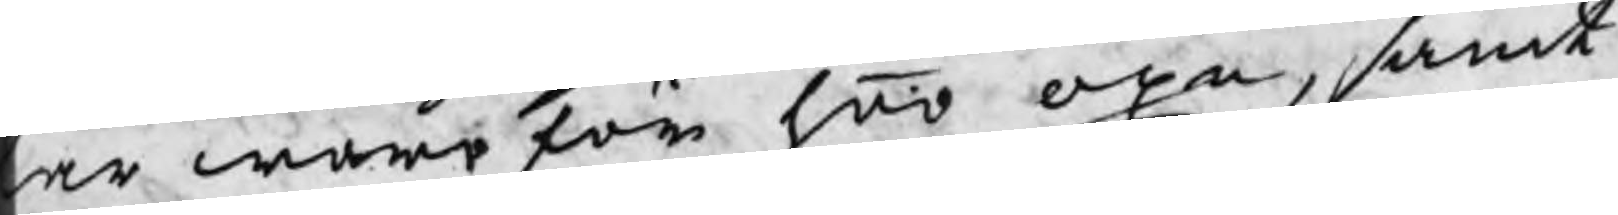ar wore för hoo oxe, samt
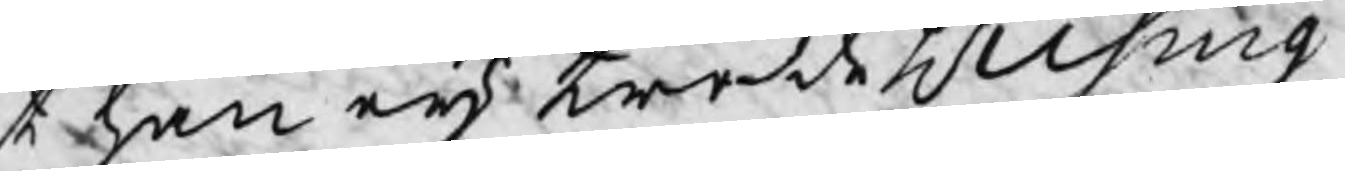t han eij trodde H Using 
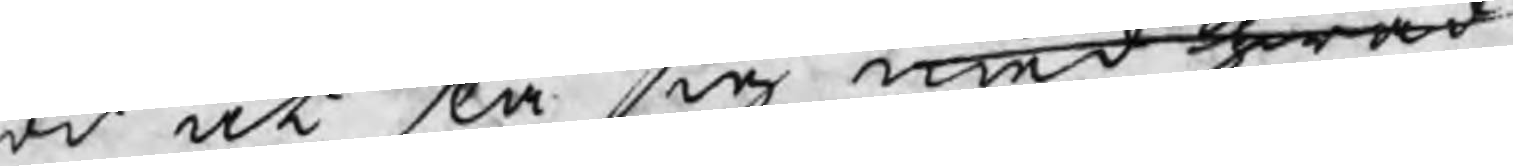od at slå sig med hwad
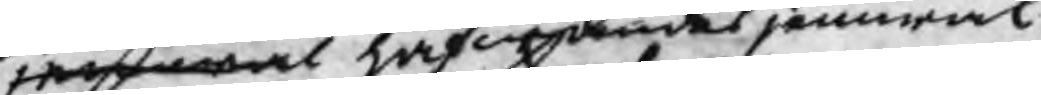jemwäl hafwandes jemwäl
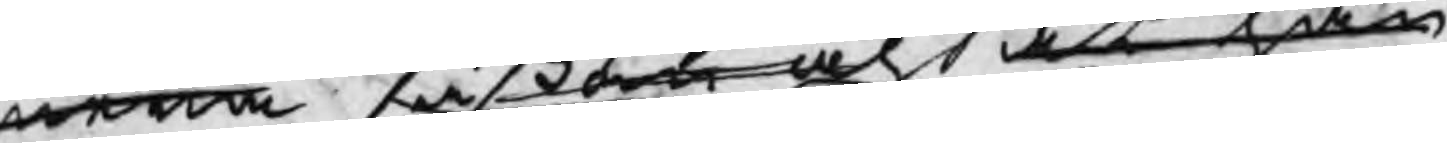mera såßom och at han
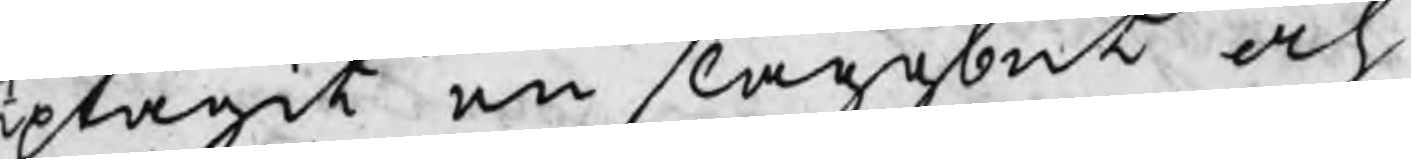uptagit en slaggbut och
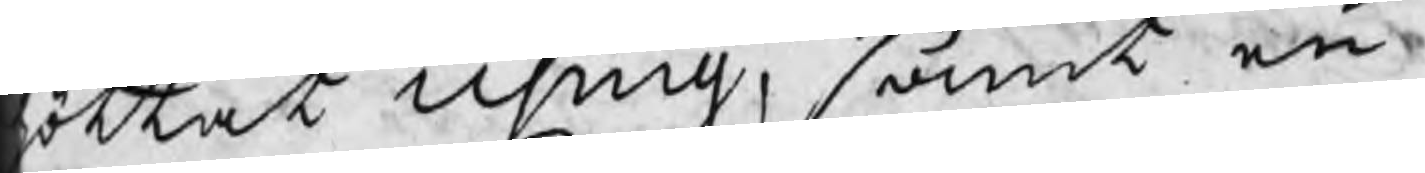öttat Using, samt en
